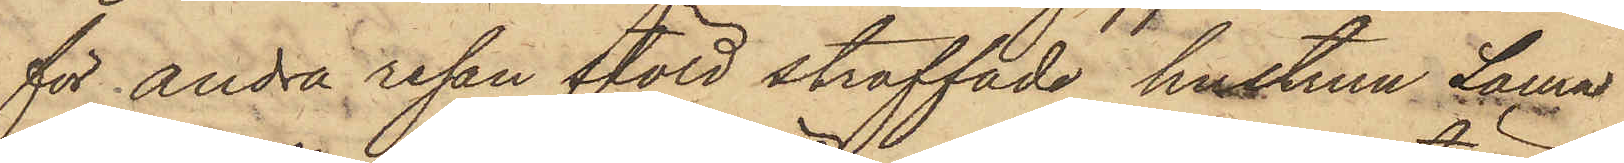för andra resan stöld straffade hustrun Laura
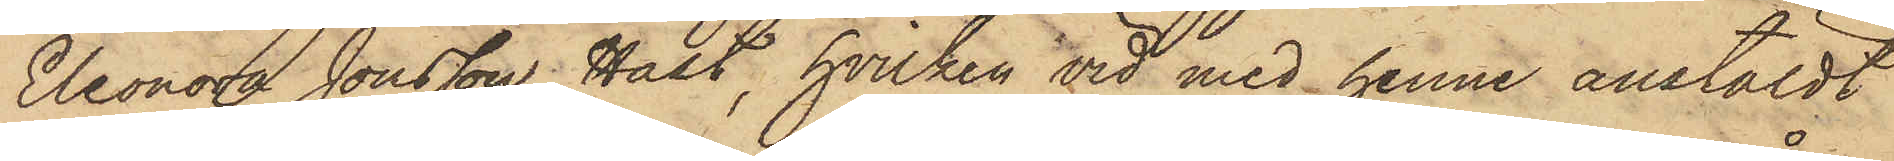Eleonora Jonsson Hast, hvilken vid med henne anstäldt
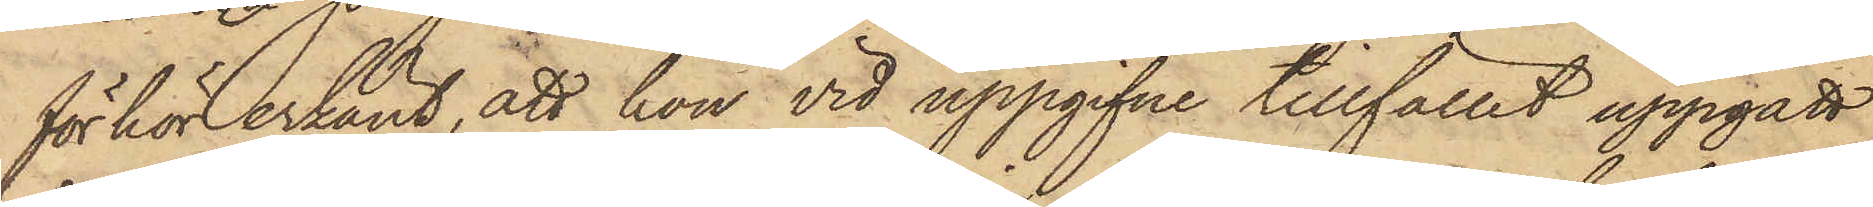förhör erkänt, att hon vid uppgifne tillfället uppgått
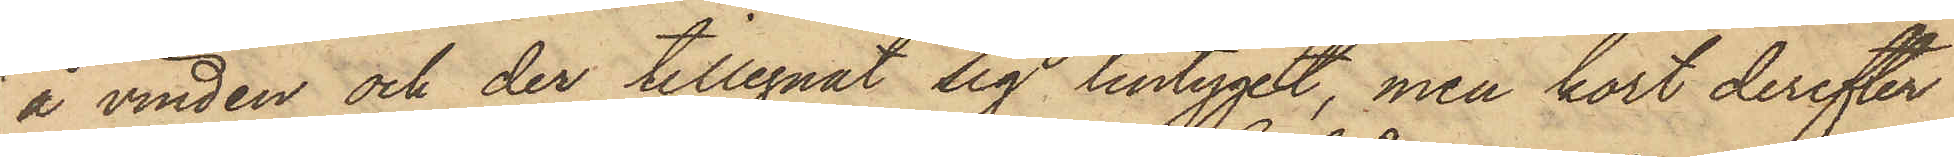å vinden och der tillegnat sig lintyget, men kort derefter
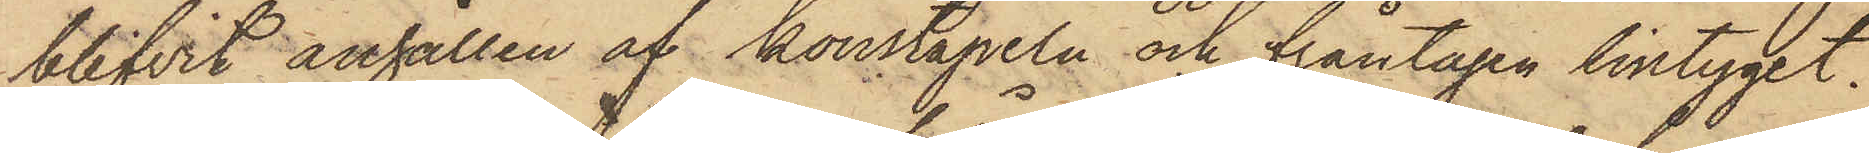blifvit anhållen af konstapeln och fråntagen lintyget.
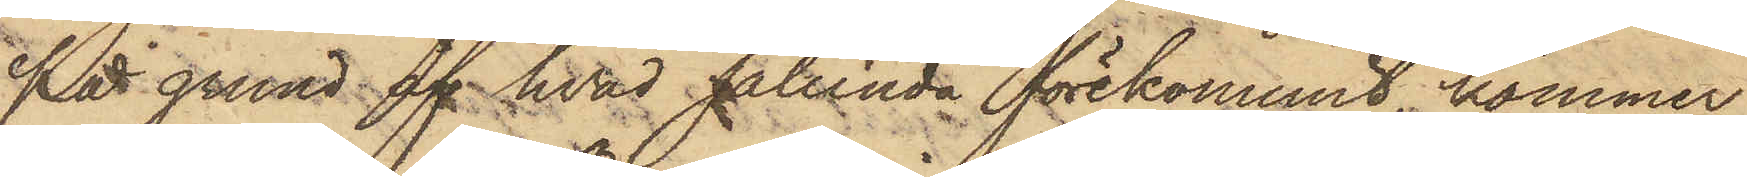På grund af hvad sålunda förekommit, kommer
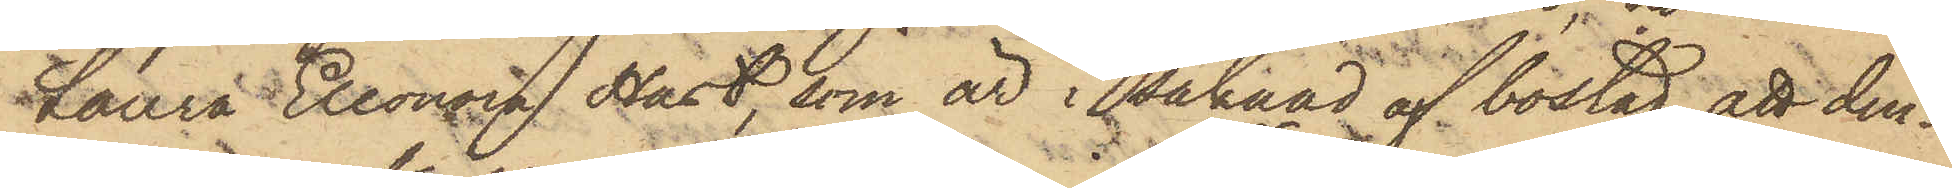Laura Eleonora Hast, som är i saknad af bostad, att den¬
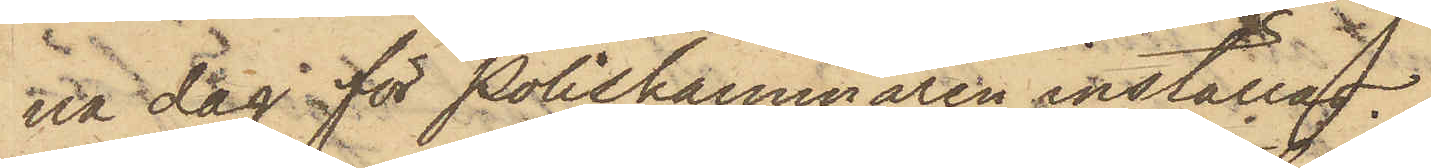na dag för Poliskammaren inställas.
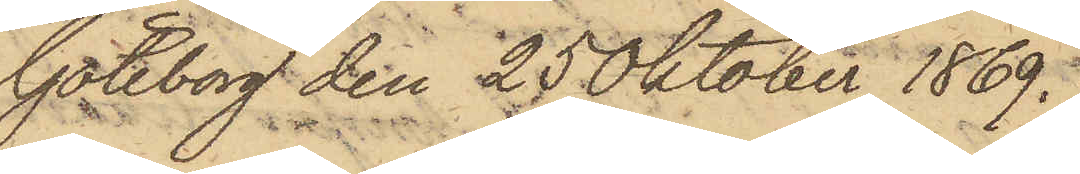Göteborg den 25 Oktober 1869.
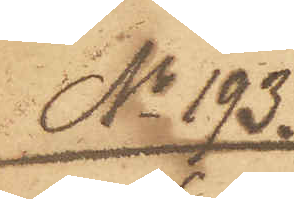No 193.
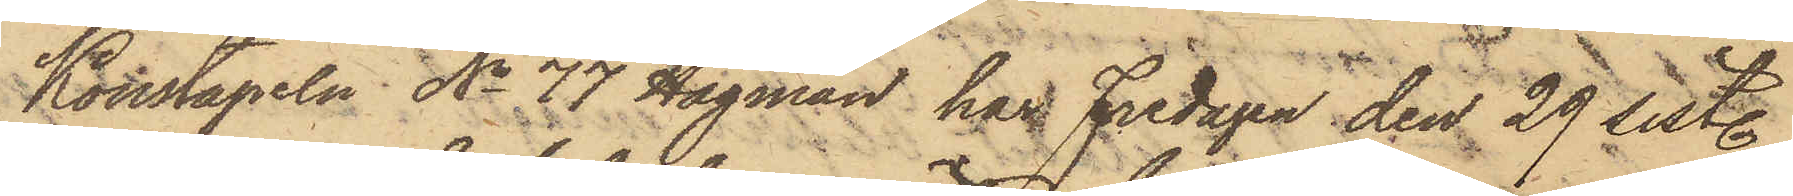Konstapeln No 77 Hagman, har Fredagen den 29 sist.
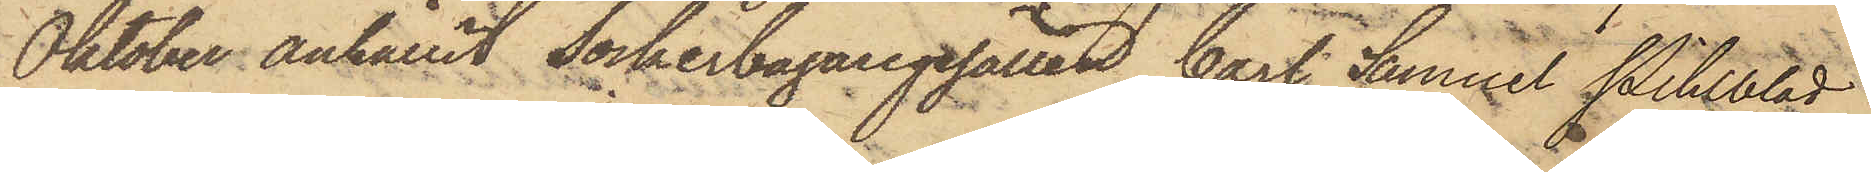Oktober anhållit Sockerbagaregesällen, Carl Samuel Pihlblad
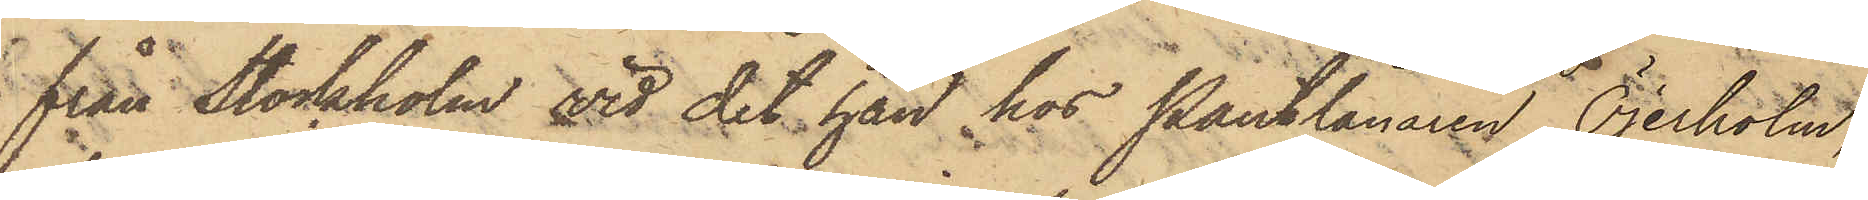från Stockholm vid det han hos Pantlånaren Öjerholm,
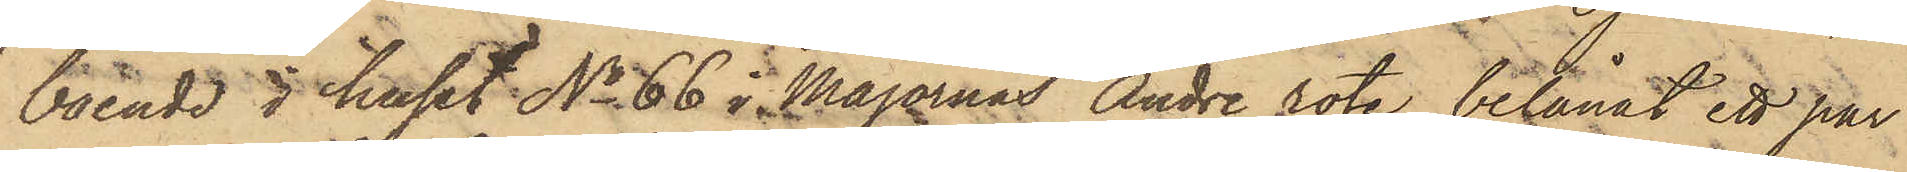boende i huset No 66 i Majornas Andre rote, belånat ett par
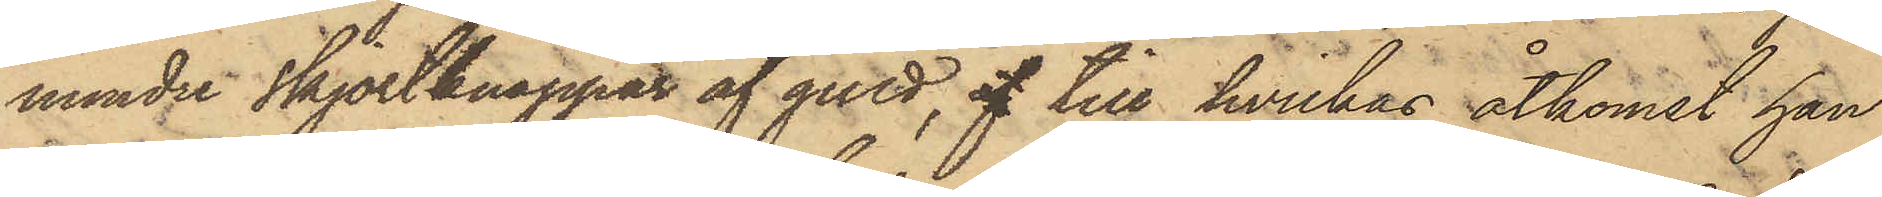mindre skjortknappar af guld, af till hvilkas åtkomst han
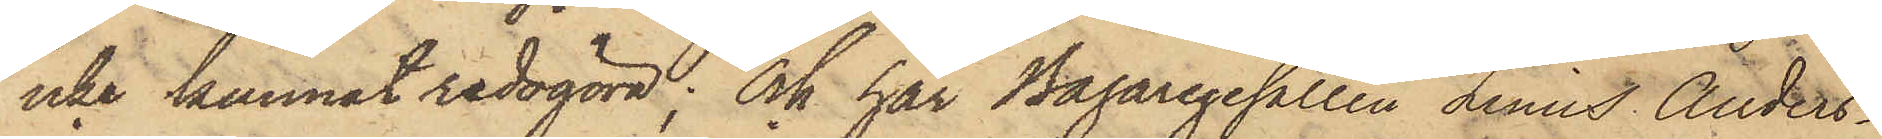icke kunnat redogöra; och har Bagaregesällen Linus Anders¬
